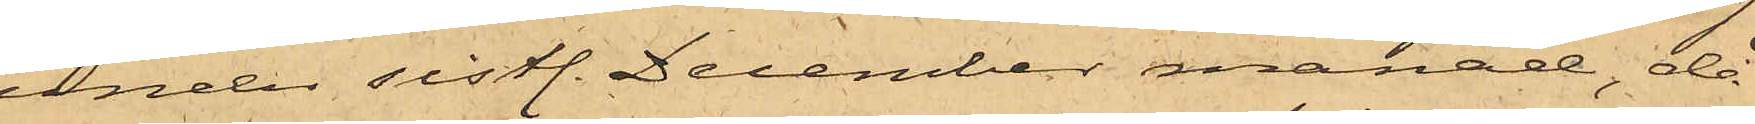under sistl. December månad, då
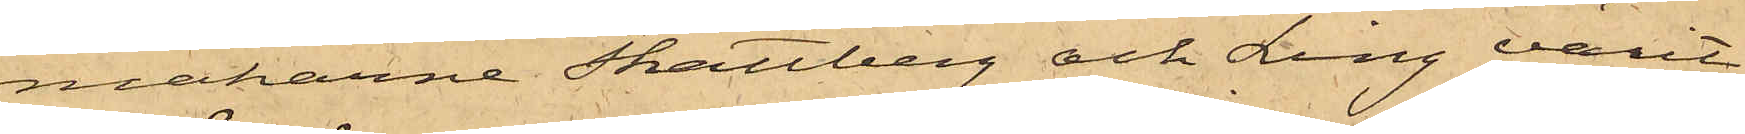makarne Skattberg och Ling varit
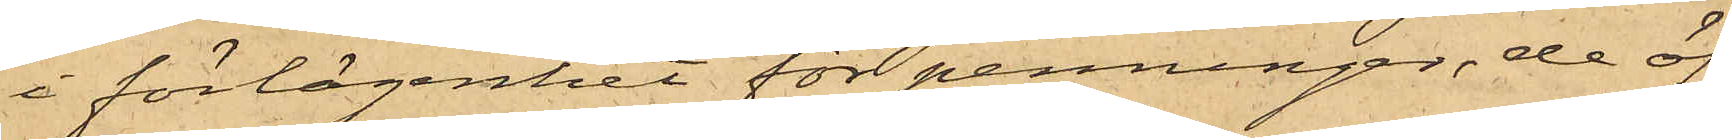i förlägenhet för penningar, de öf¬
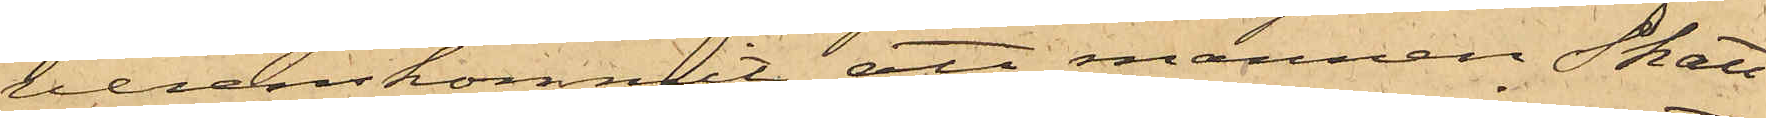verenskommit, att mannen Skatt¬
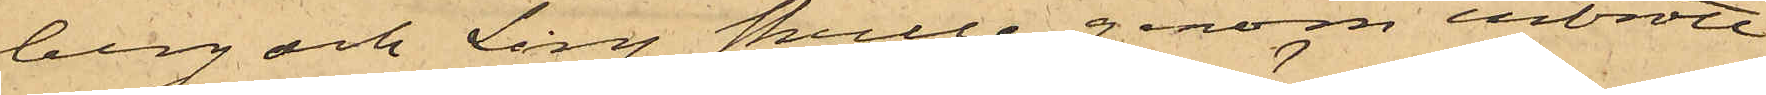berg och Ling skulle genom inbrott
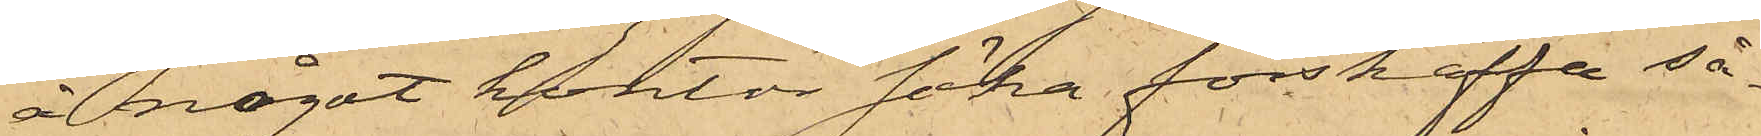å något kontor söka förskaffa så¬
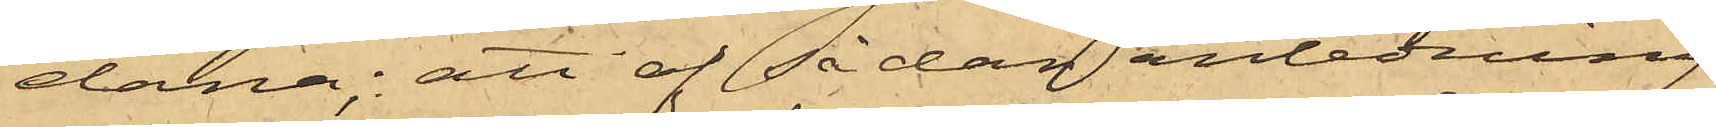dana; att af sådan anledning
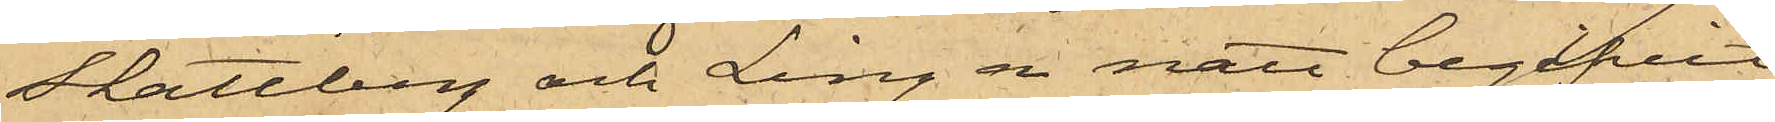Skattberg och Ling en natt begifvit
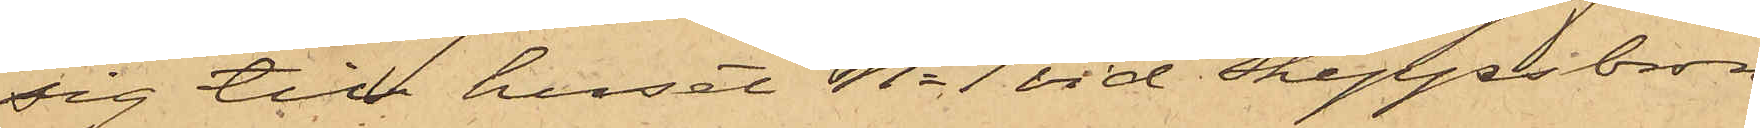sig till huset No 1 vid Skeppsbron
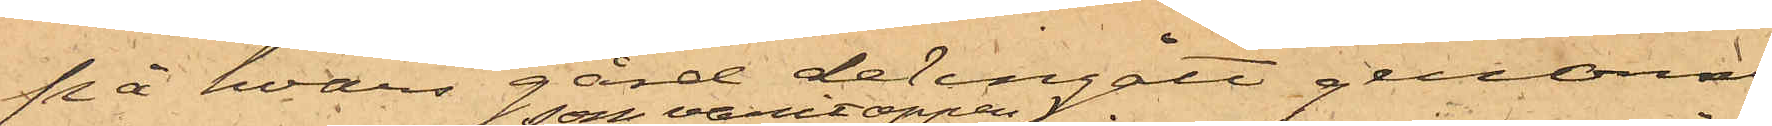på hvars gård de ingått genom
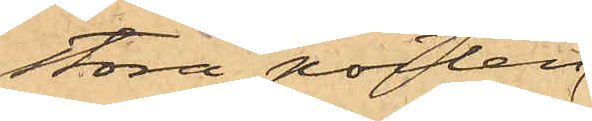stora porten
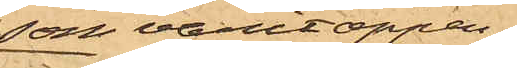som varit öppen;
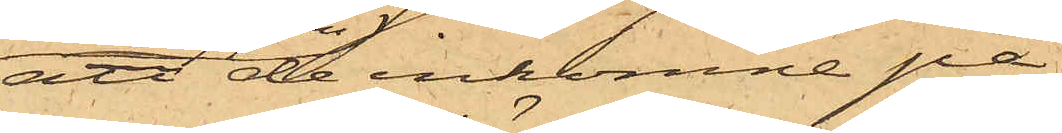att de inkomne på
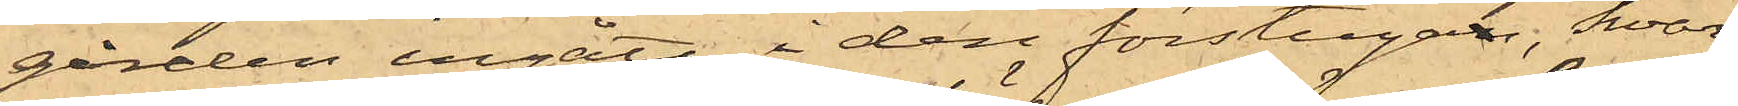gården ingått i den förstugan, hvar¬
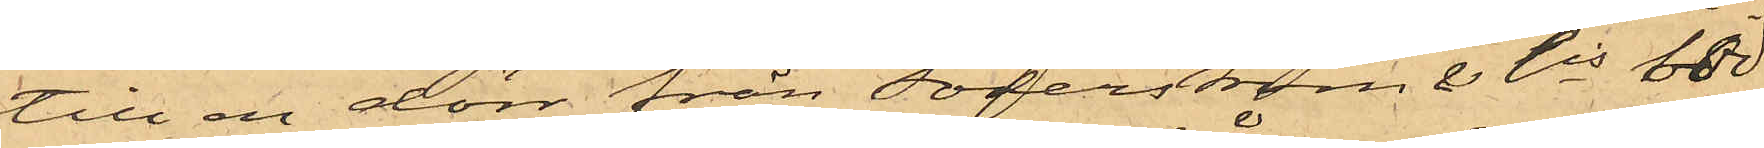till en dörr från Söderström & Cis bod
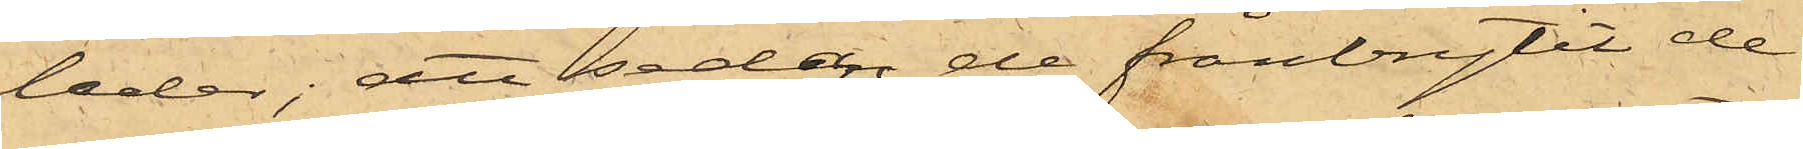leder; att sedan de frånbrytit de
